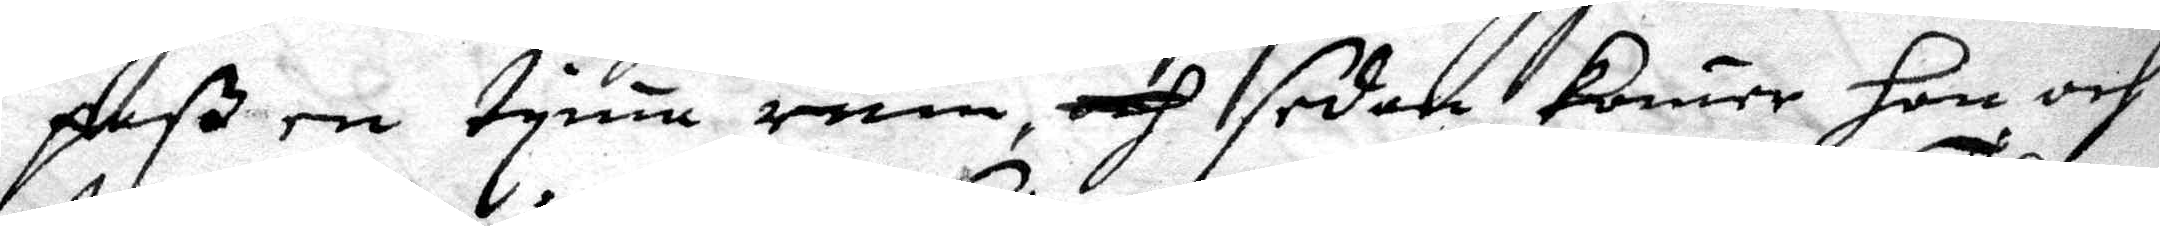paß en tyma rum, och sedan kommer hon och
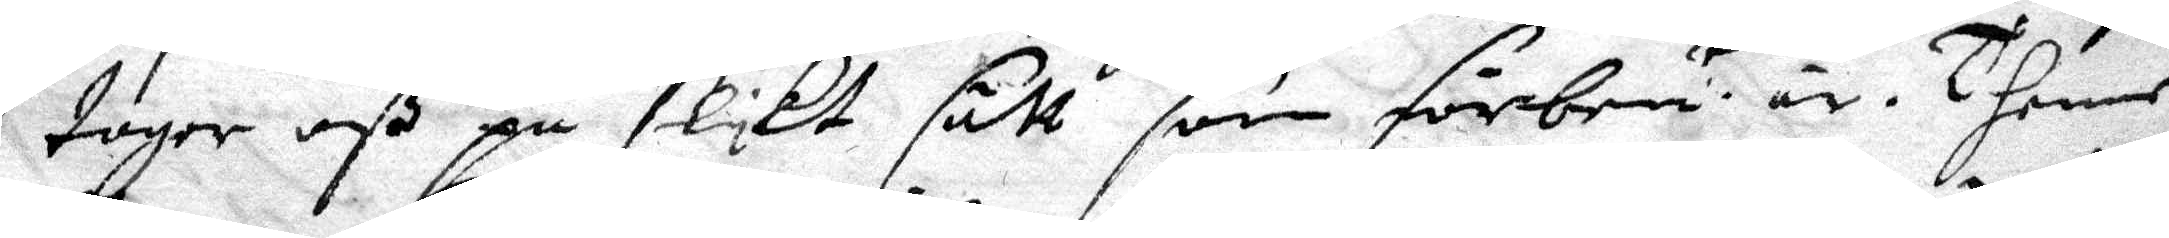tager oß på slykt sätt som förbemt är. Thenne 
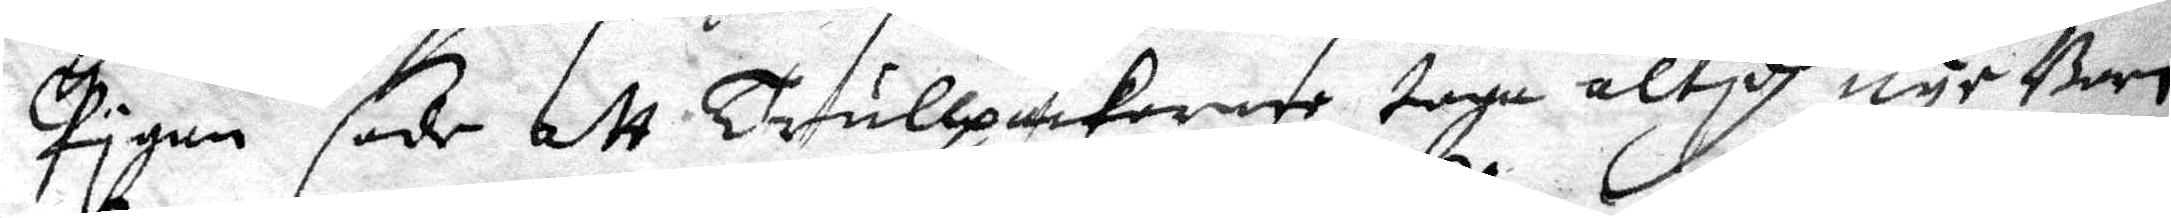Pygan sade att Trullpackornne taga altydh nye Barn
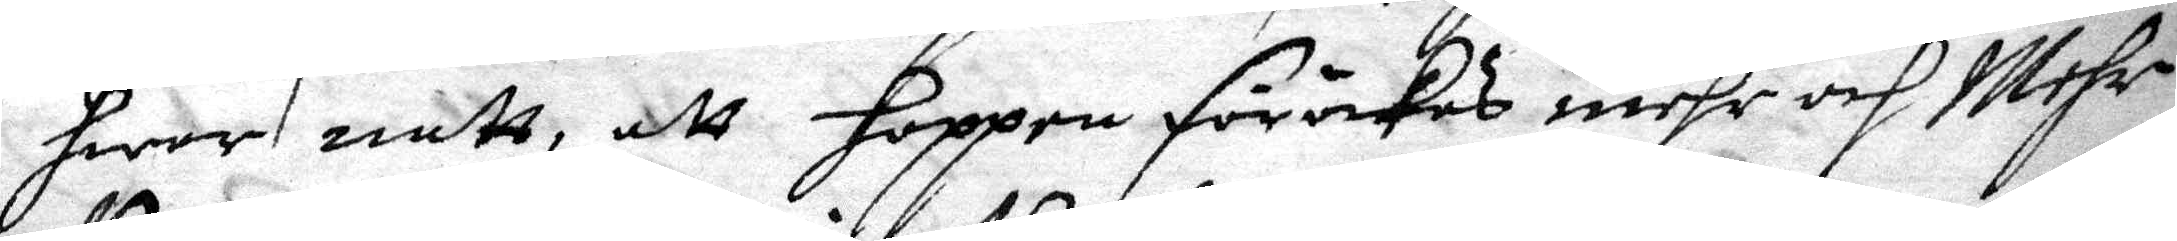hwar natt, att hoppen föröckes mehr och Mehr
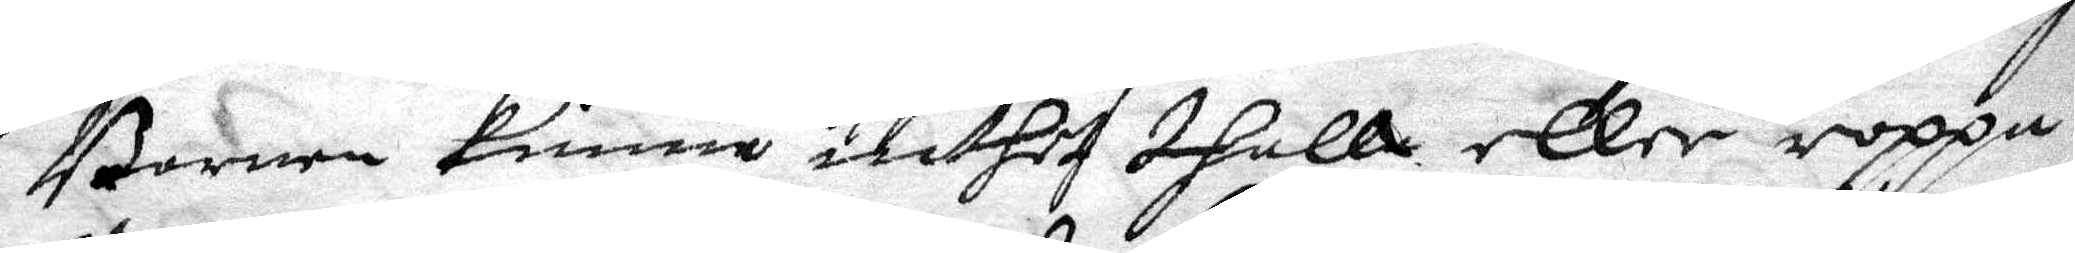Barnen kunna inthet thalle eller roppa
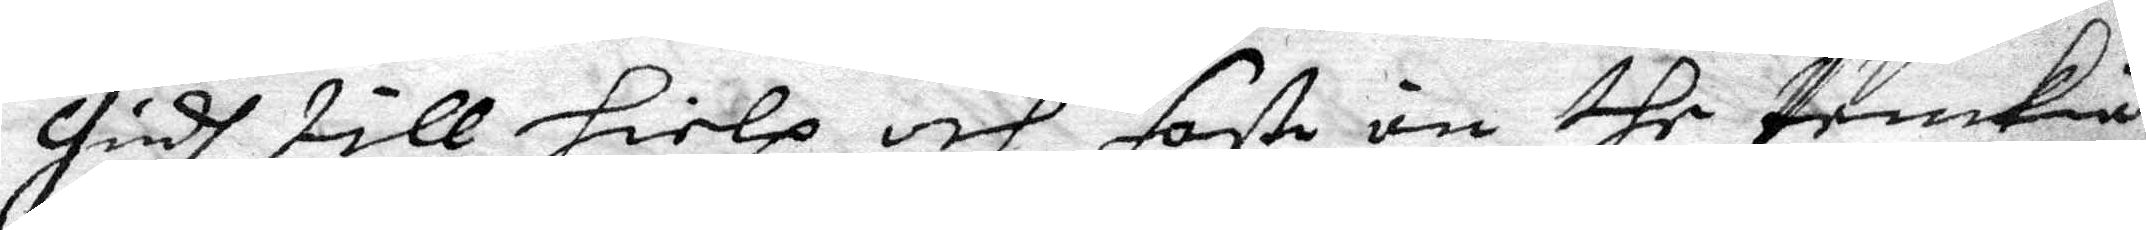Gudh till hielp och faste än the tänkia
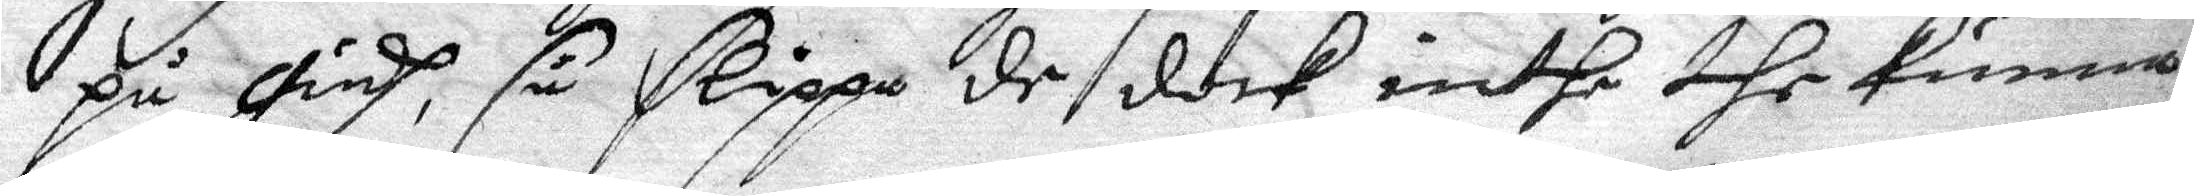på Gudh, så slippa de dock inthe the kunna
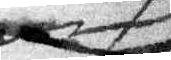och
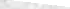häst, och en stång trädd emellan hans Ben ther
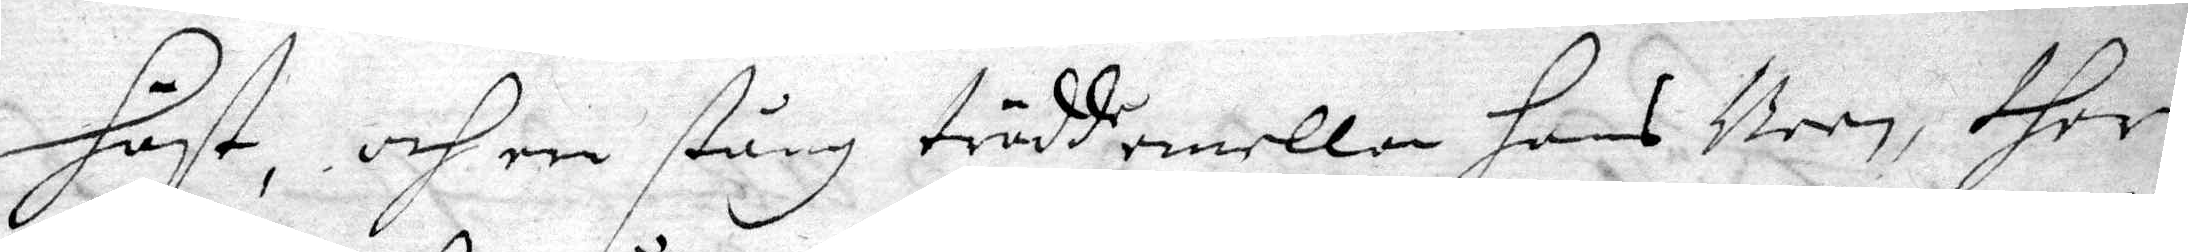häst, och en stång trädd emellan hans Ben ther
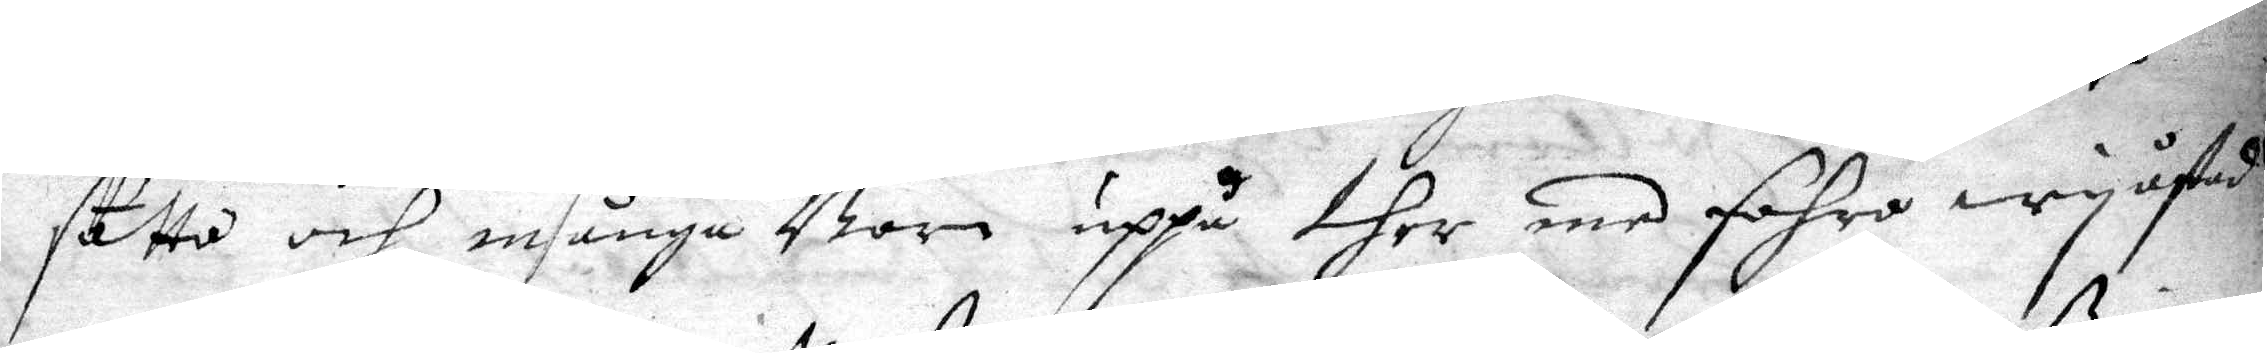sutto och många Barn uppå ther med fohro wy åstad
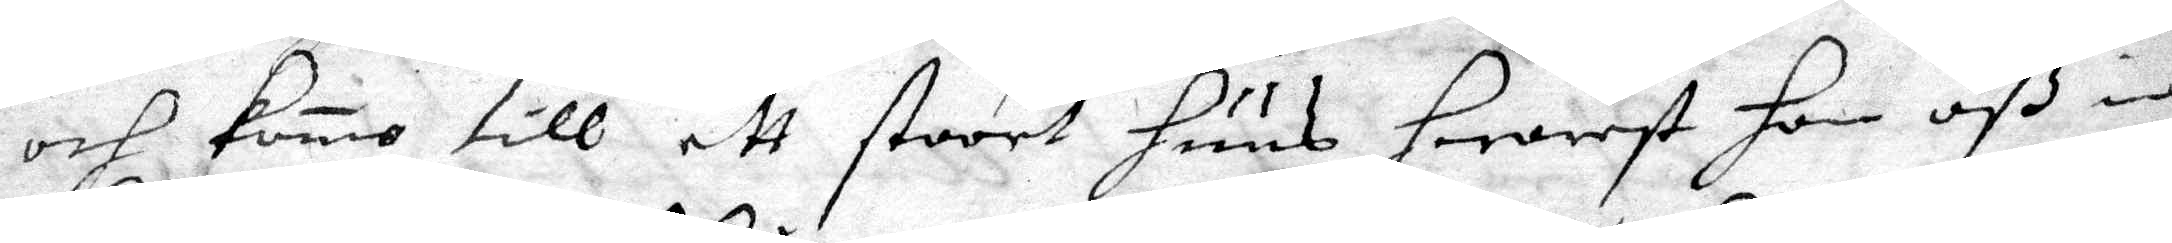och komo till ett stoort huus hwarest hon oß in¬
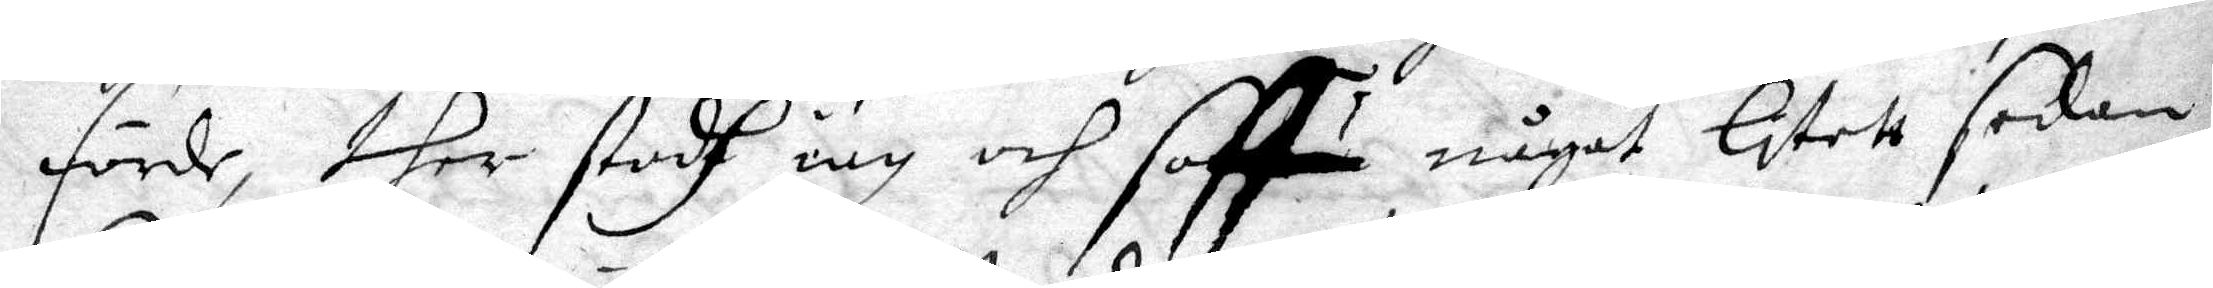förde, ther stodh iag och soffu något litett sedan
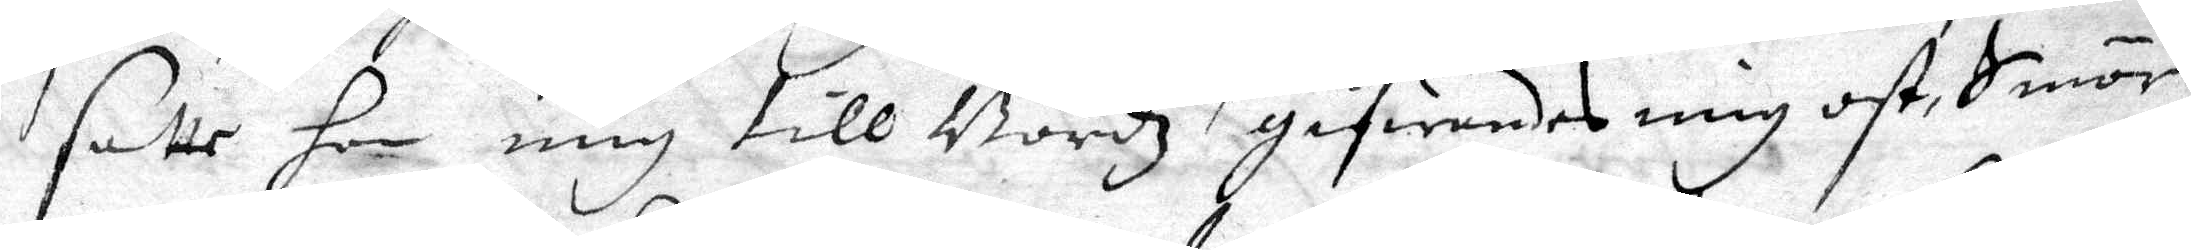satte hon mig till Bordz gifwandes mig ost, Smör
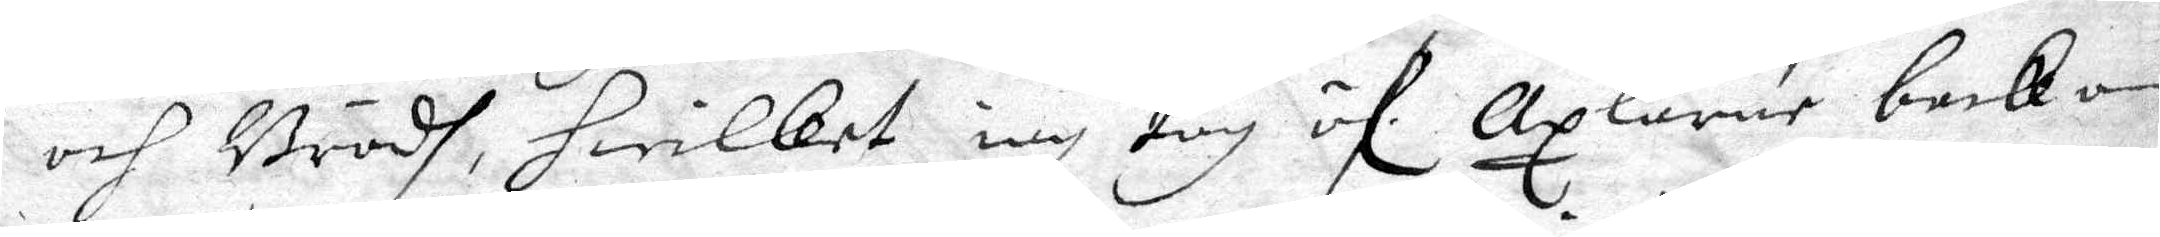och Brödh, hwilket iag tog öf Axlarne backom 
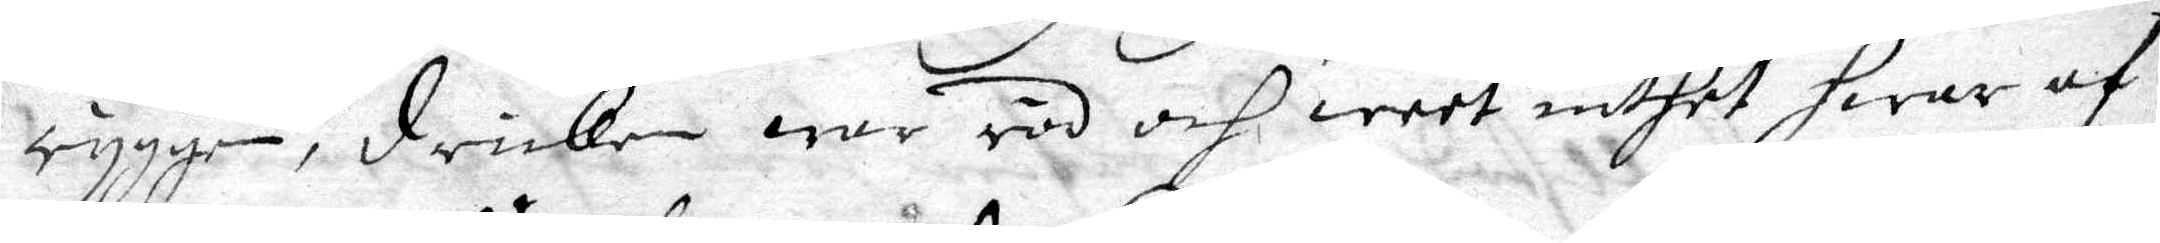ryggen, dricken war röd och weet inthet hwar af
